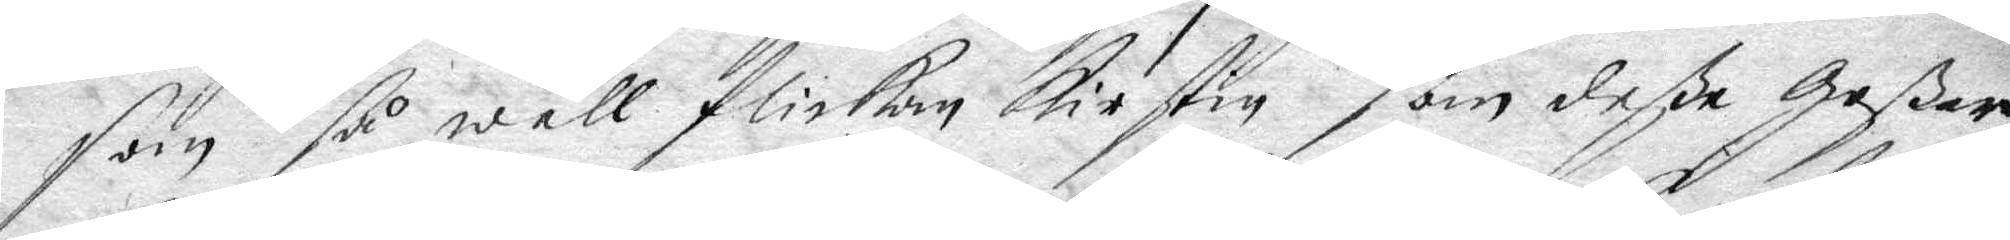som så wäll flickan Kirstin som deße Goßar
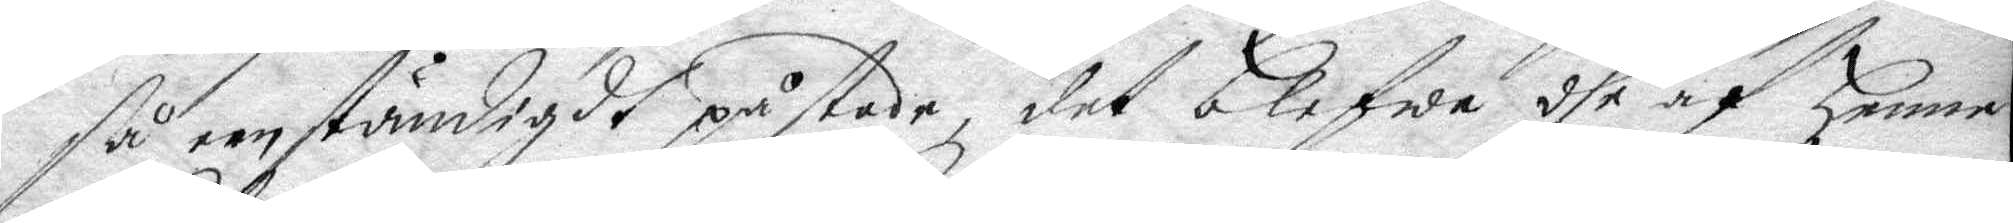så eenständigdt påstår, det blifwa dhe af henne
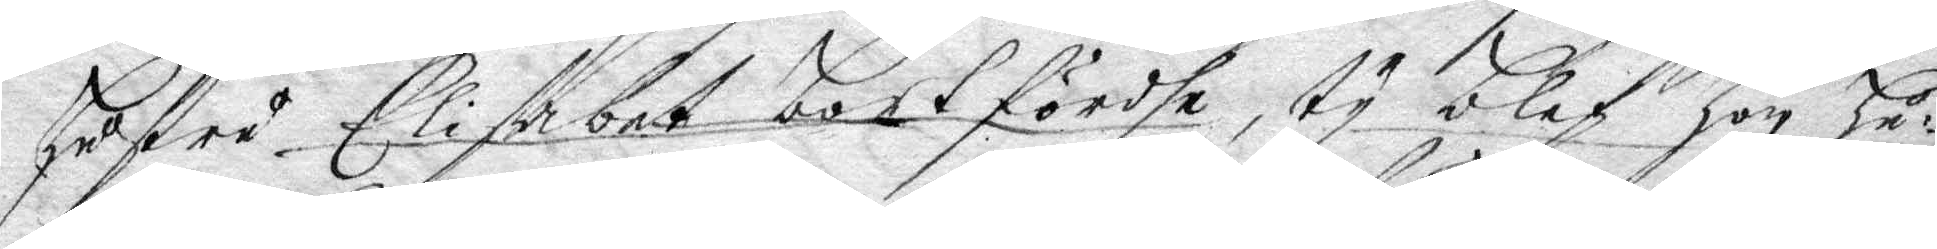hustru Elisabet bortförde, ty blef hon hu¬
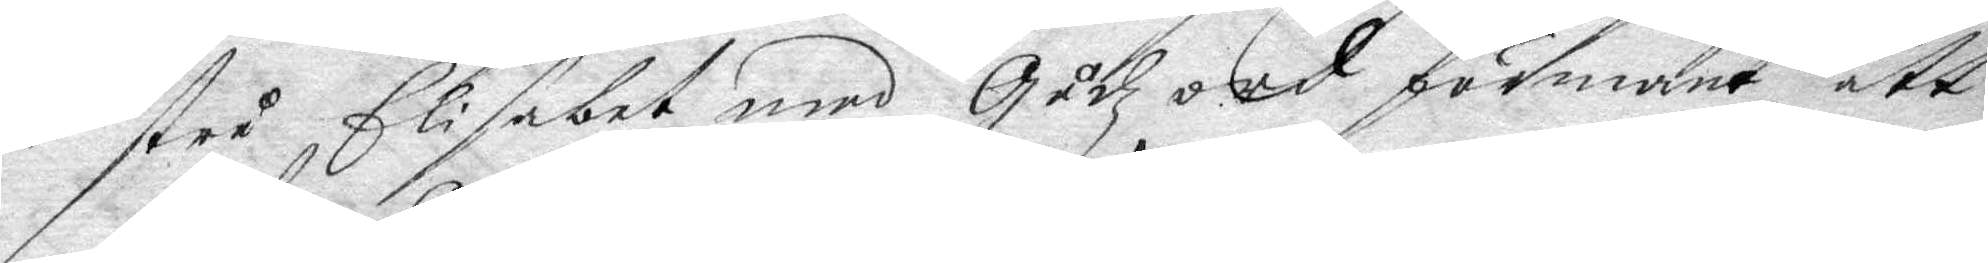stru Elisabet med Gudz ord förmant att
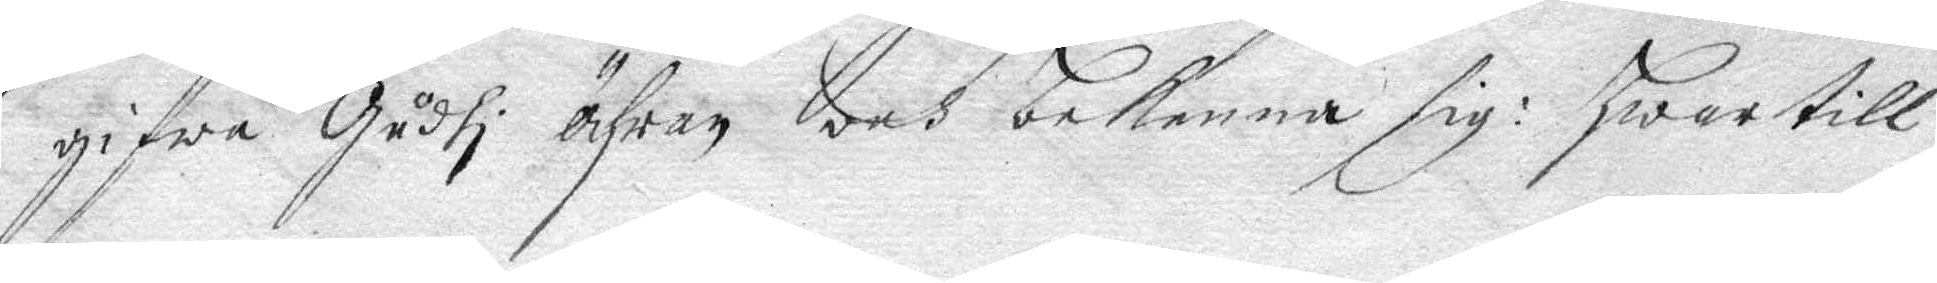gifwa Gudhi ähran och bekenna sig: hwartill
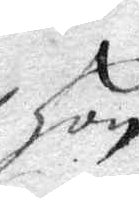hon
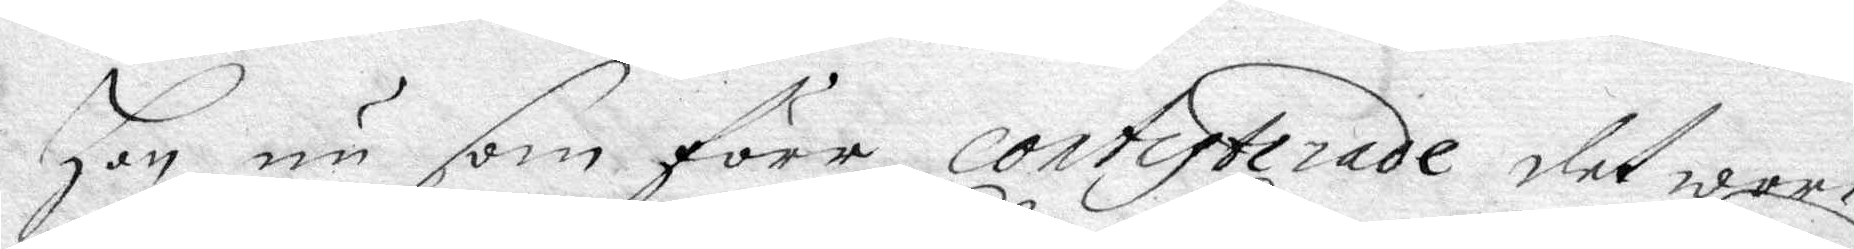hon nu som före contipterade det wore
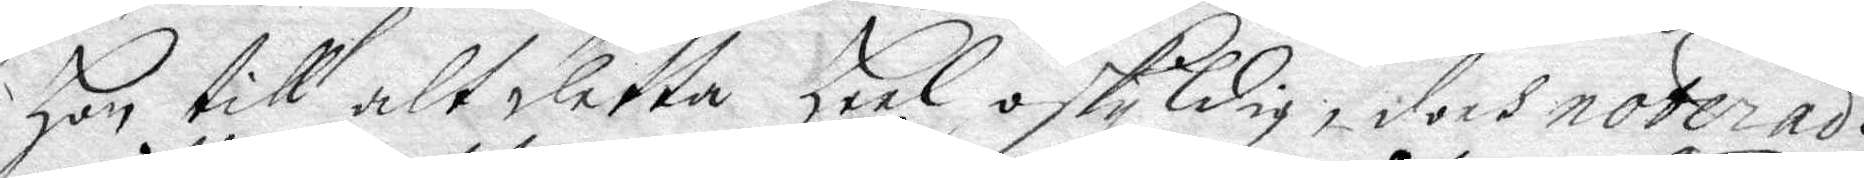hon till alt detta heel oskyldig, doch noterade
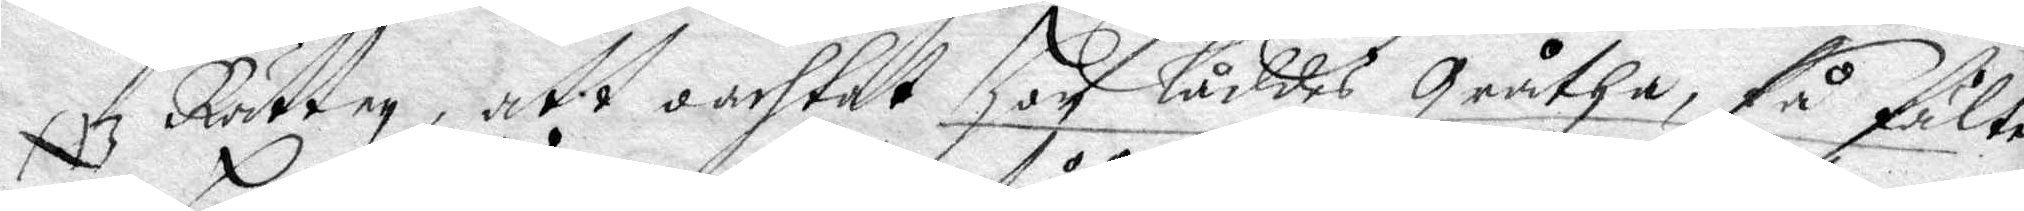NB Rätten, att oachtat hon låddes gråtha, så fälte
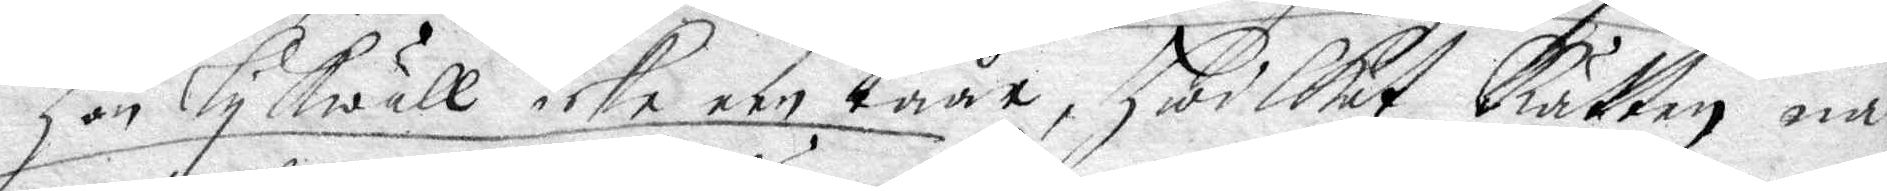hon lykwäll icke een tåår, hwilket Rätten nå¬
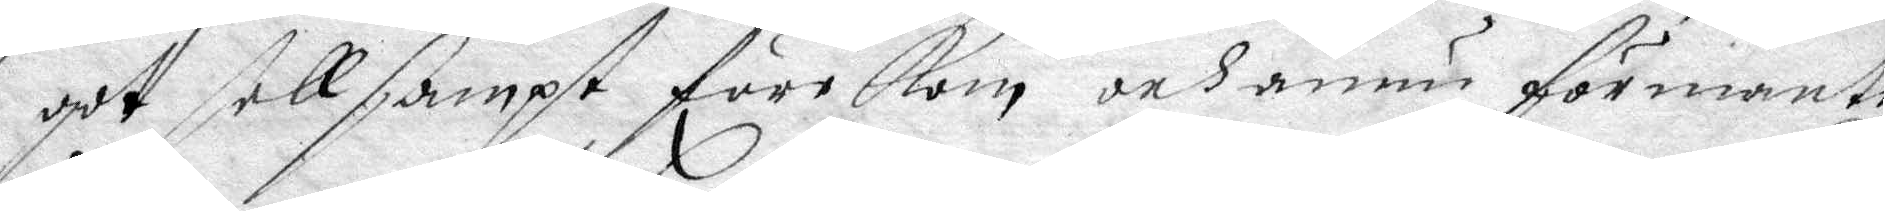got sellsampt förekom och ännu förmante
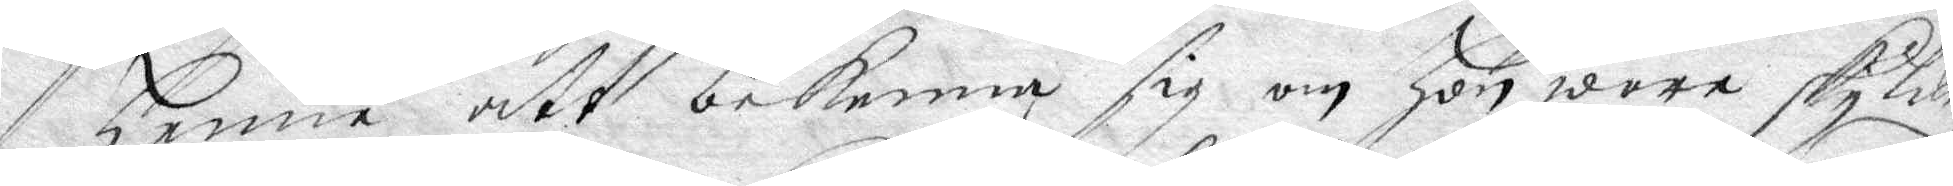henne att bekenna sig om hon wore skyldig
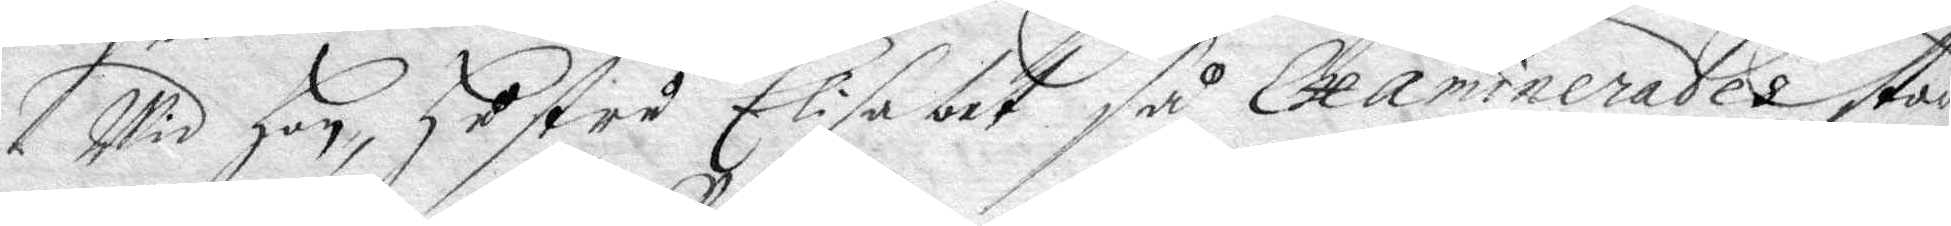wid ho, hustru Elisabet så Examinerades stod
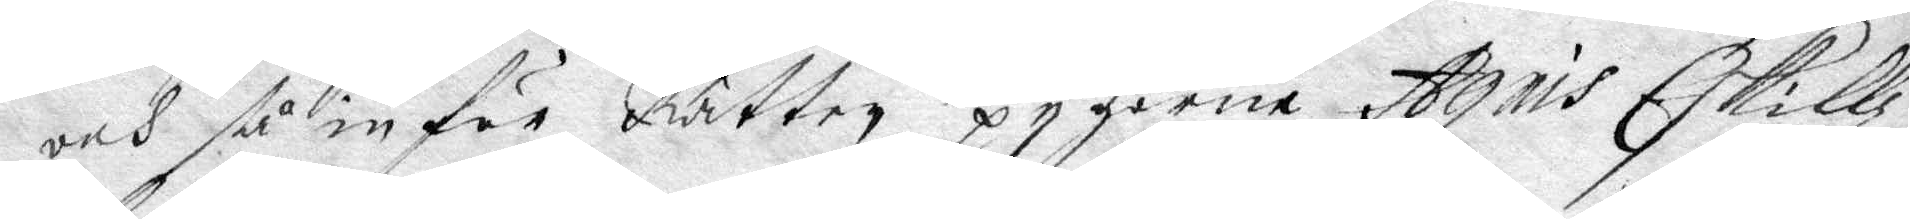och så inför Rätten, pygorne Agnis Eskillz¬
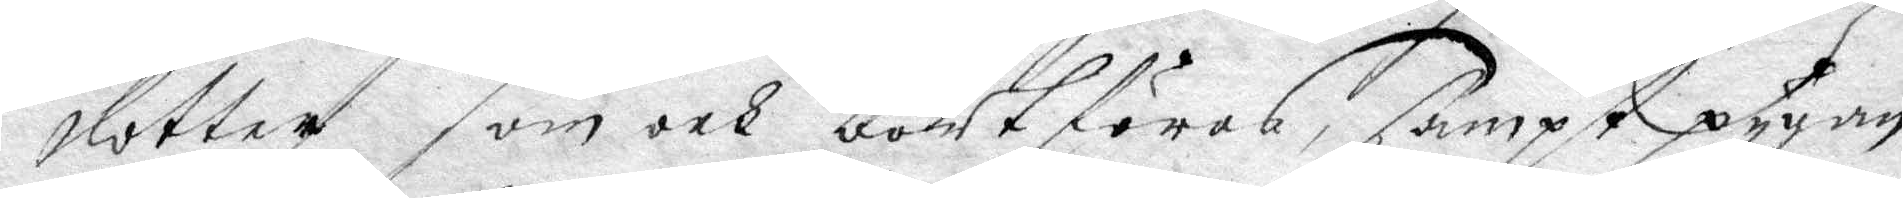dotter som och bortföres, sampt pygan
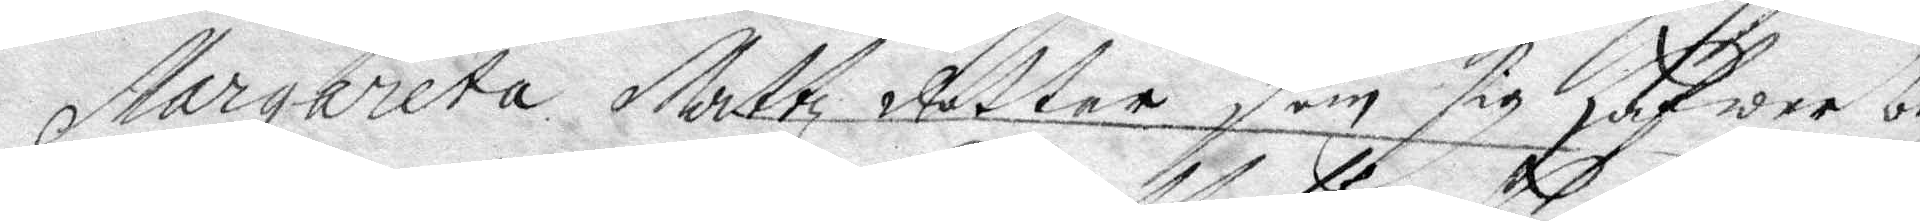Margareta Mattz dotter som sig hafwer be¬
